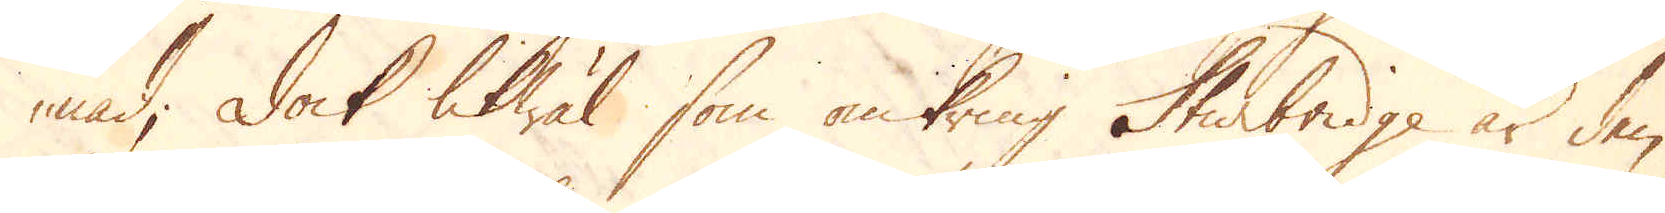nad; Dock likwäl som omkring Sturbridge är den
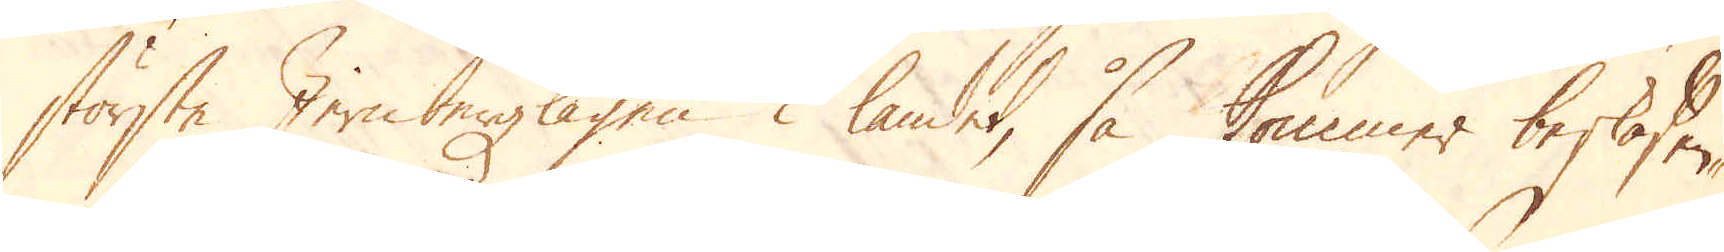största Jern bergslagen i landet, så kommer beskaffen-
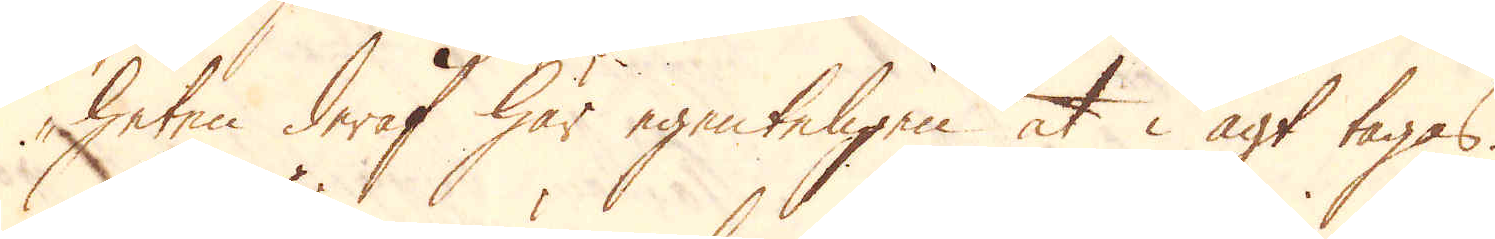heten deraf här egenteligen at i agt tagas.
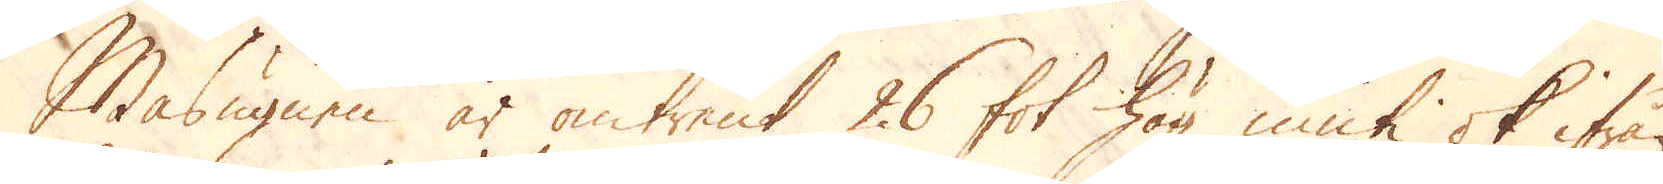Masugnen är omtrent 26 fot hög inuti ok ifrån
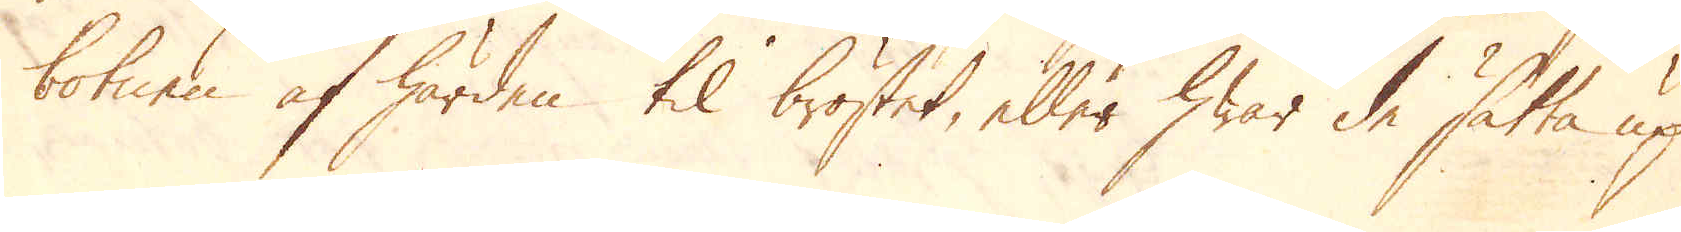botnen af härden til bröstet, eller hwar de sätta up
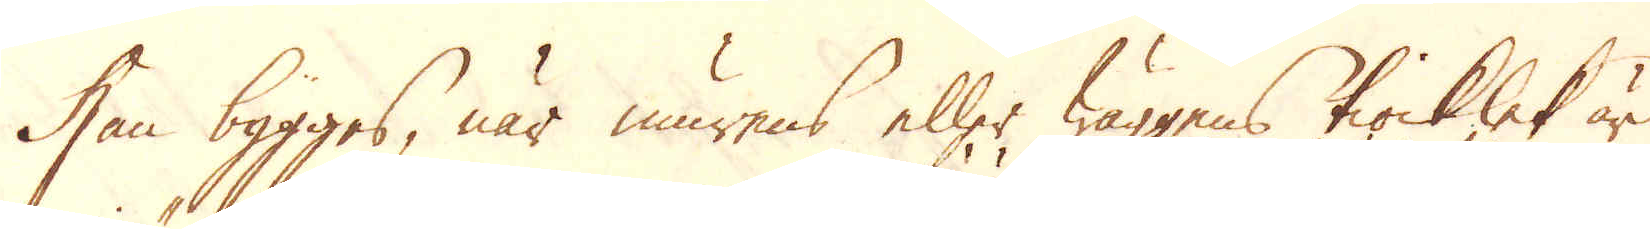han bygges, när murens eller wäggens tiocklek är
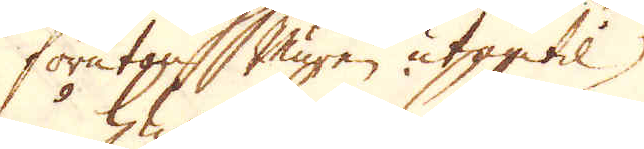förutan Muren utantil
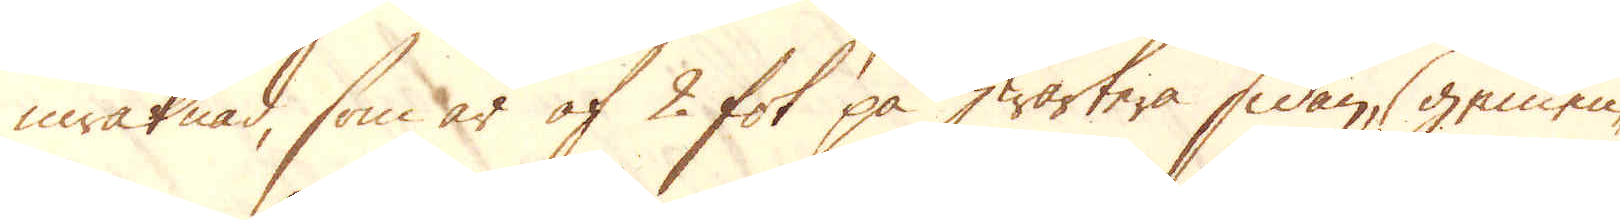inräknad, som är af 2 fot på hwartera sidan, gemen-
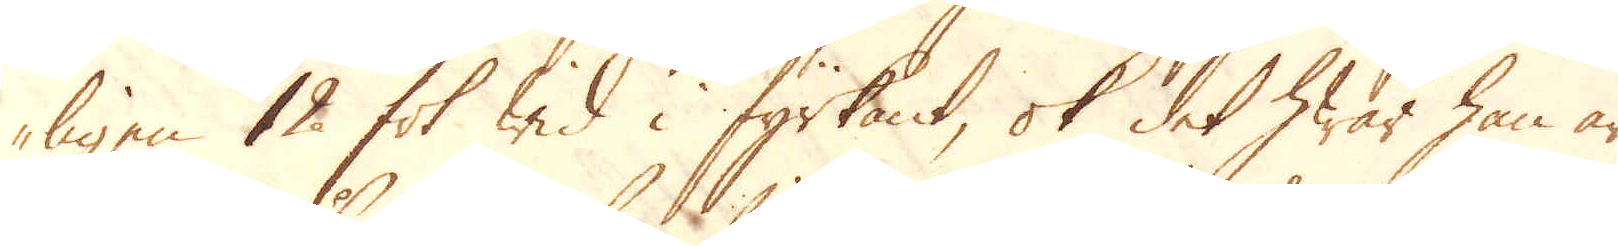ligen 12 fot wid i fyrkant, ok det hwar han är
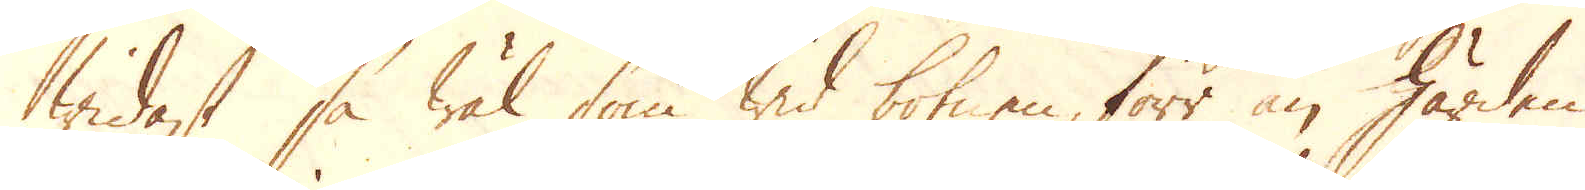widast så wäl som wid botnen, förr än Härden
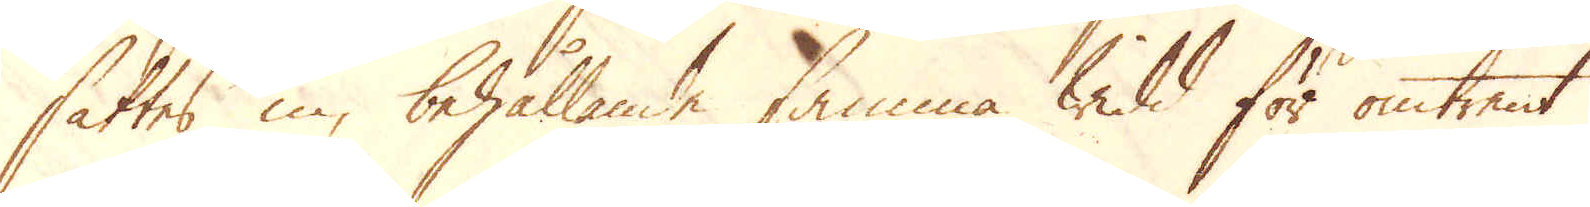sättes in, behållande samma widd för omtrent
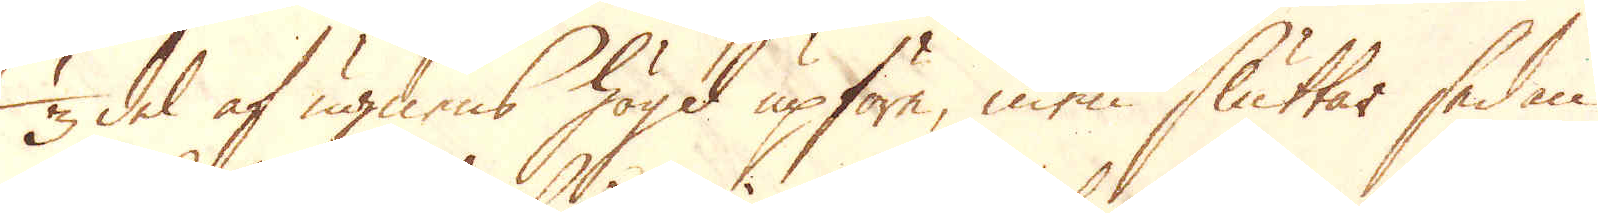1/3 del af ugnens högd upföre, men sluttar sedan
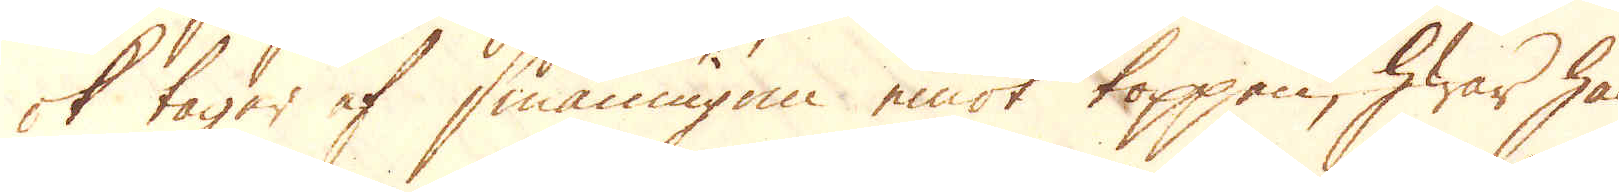ok tager af småningom emot toppen, hwar han
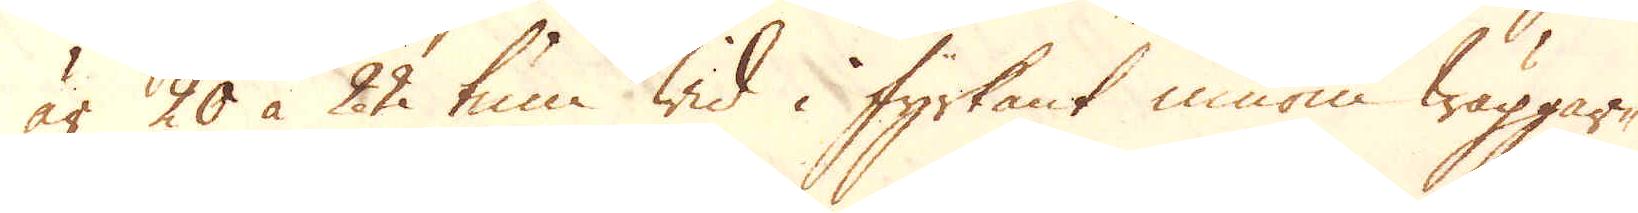är 20 à 22 tum wid i fyrkant innom wäggar-
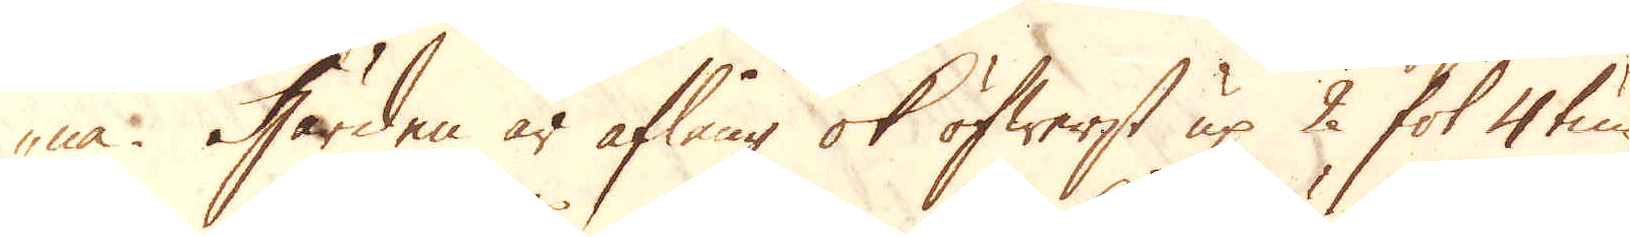na. Härden är aflång ok öfwerst up 2 fot 4 tum
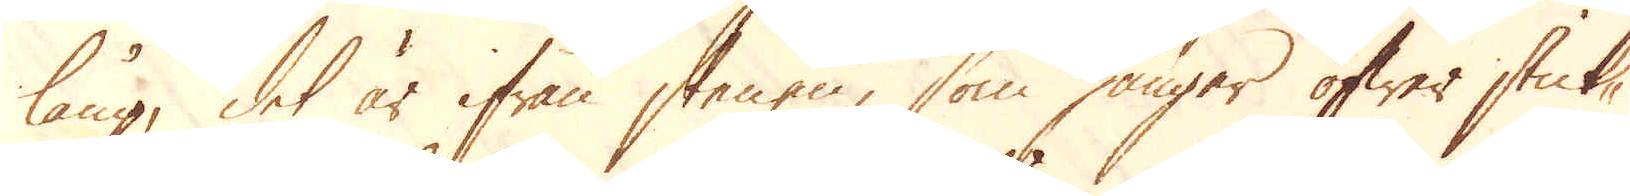lång, det är ifrån stenen, som hänger öfwer stick-
